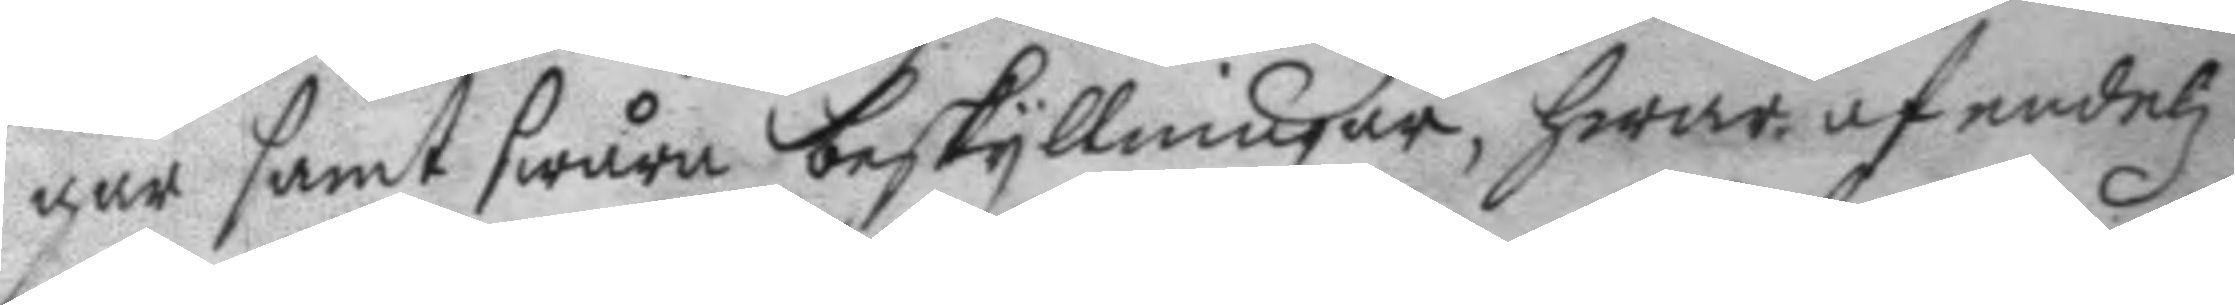gar samt swåra beskyllningar, hwar af endelz
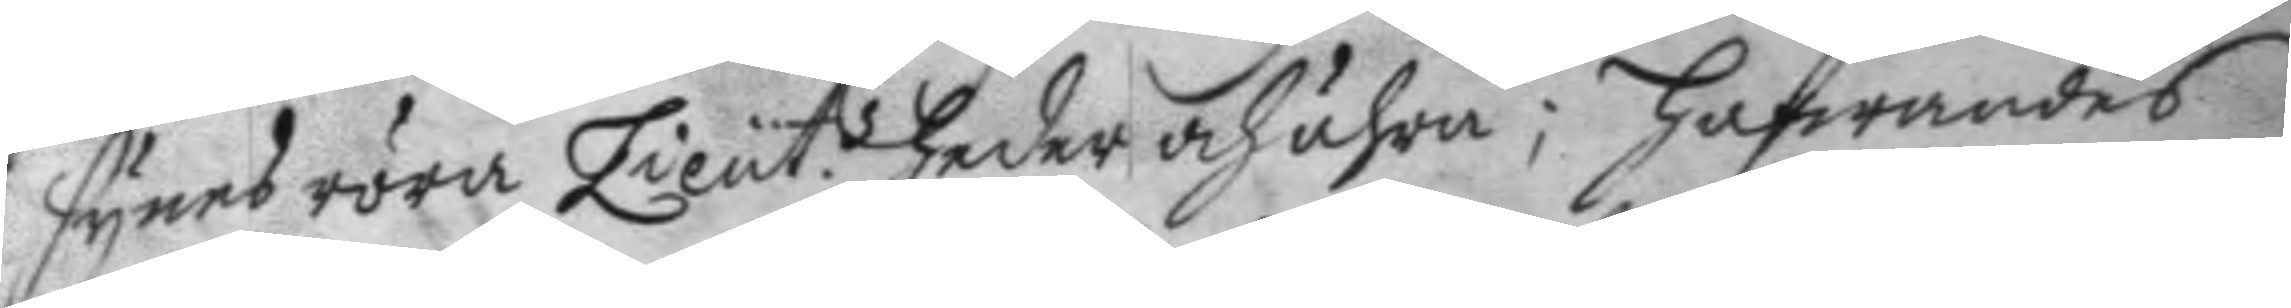synes röra Lieut.s heder och ähra; hafwandes
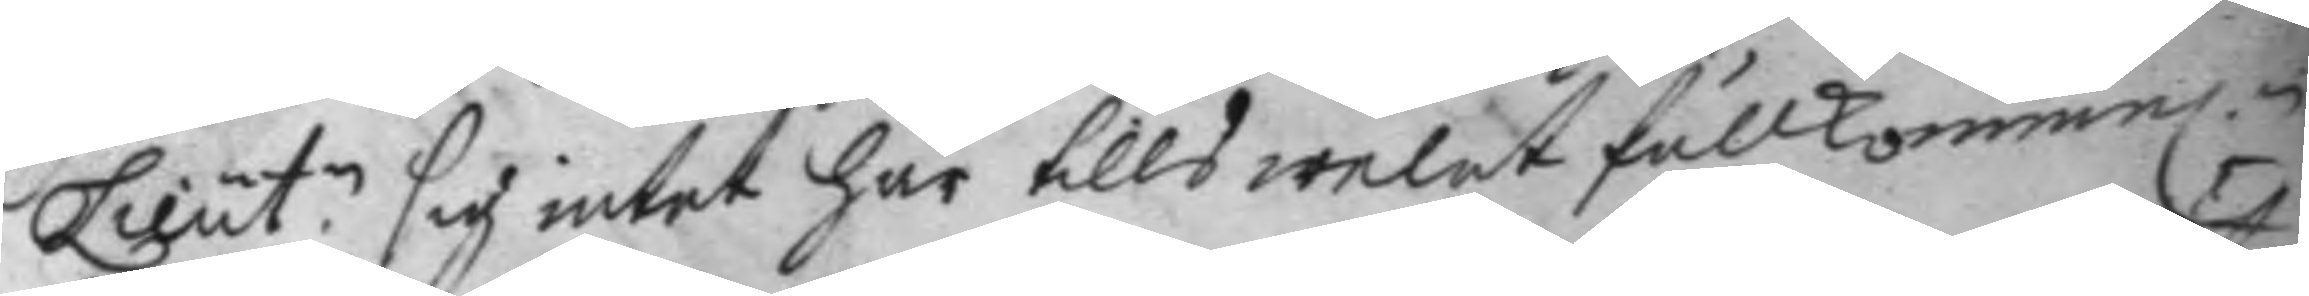Lieut.n sig intet här tills welat fullkommel.n
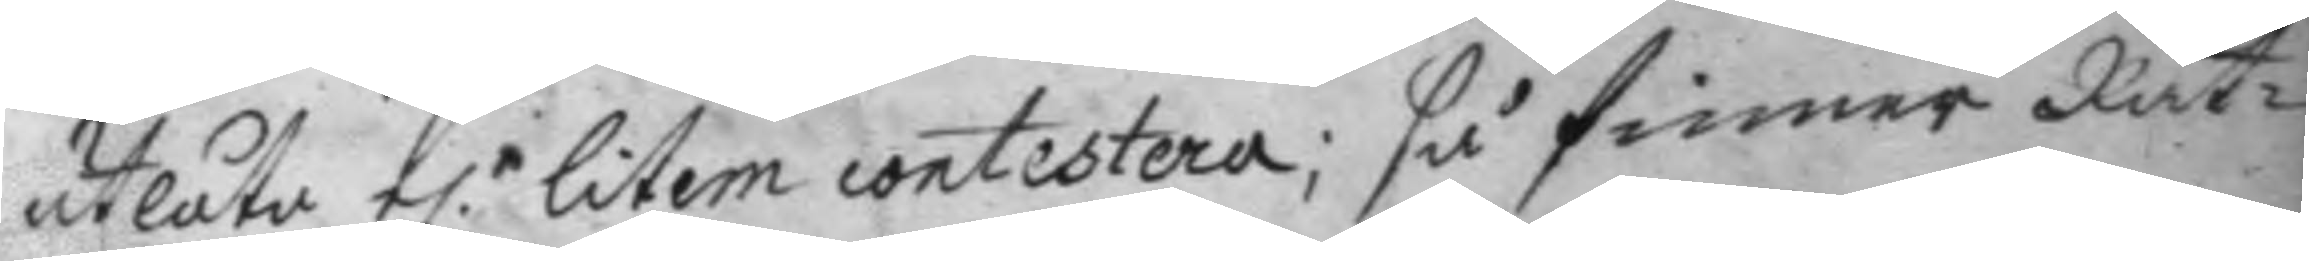utlåta el.r litem contestera: så finner Rät¬
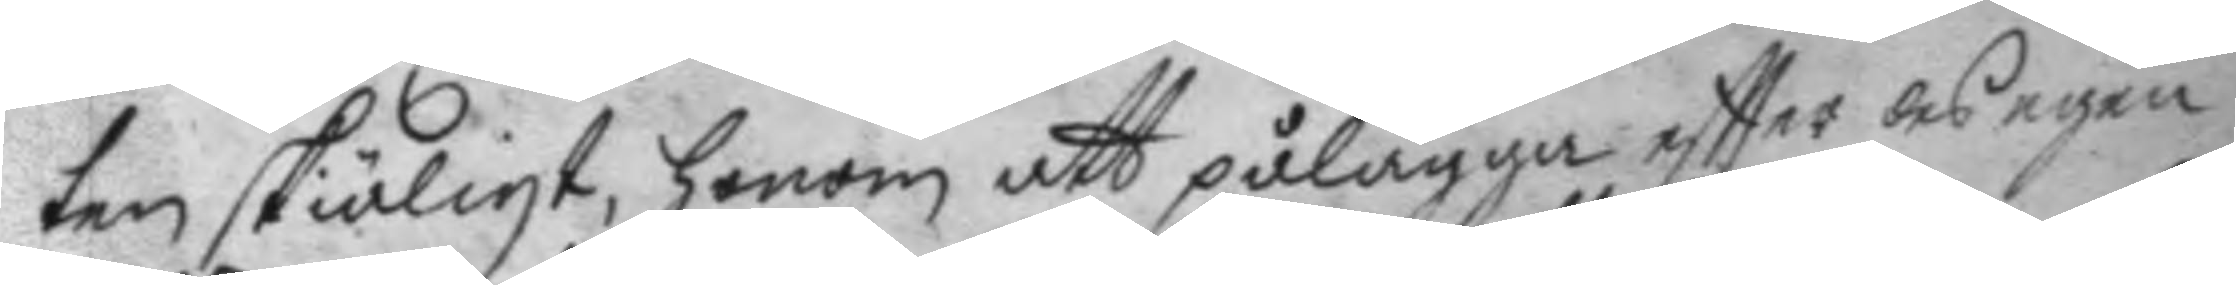ten skiäligt, honom att pålägga eftter des egen
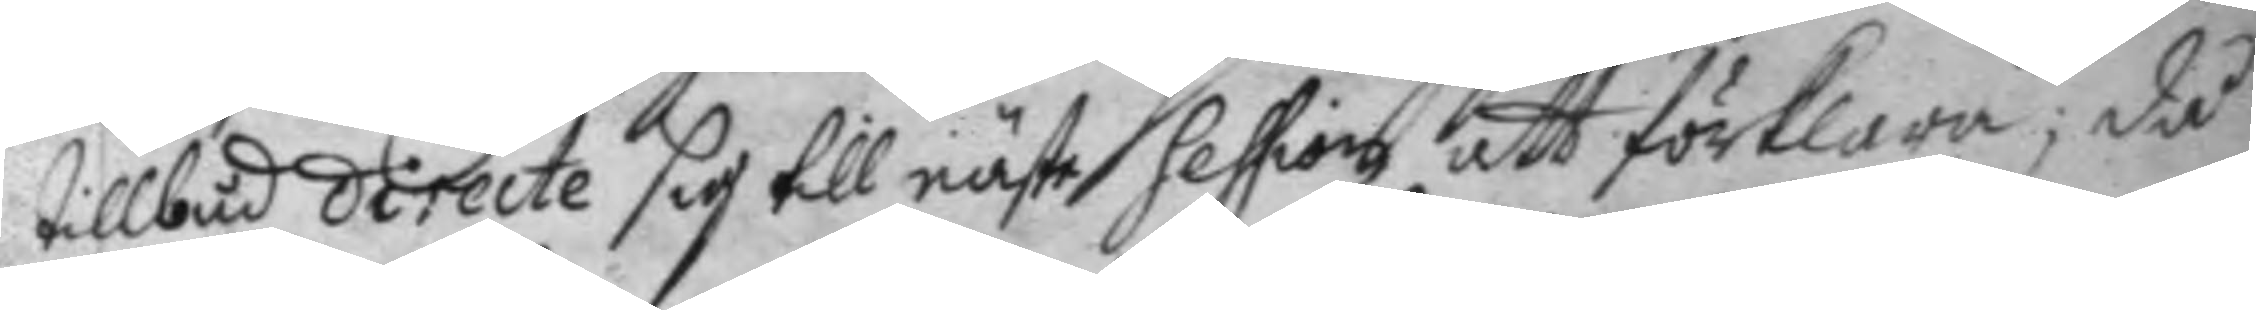tillbud directe sig till nästa Session att förklara; då
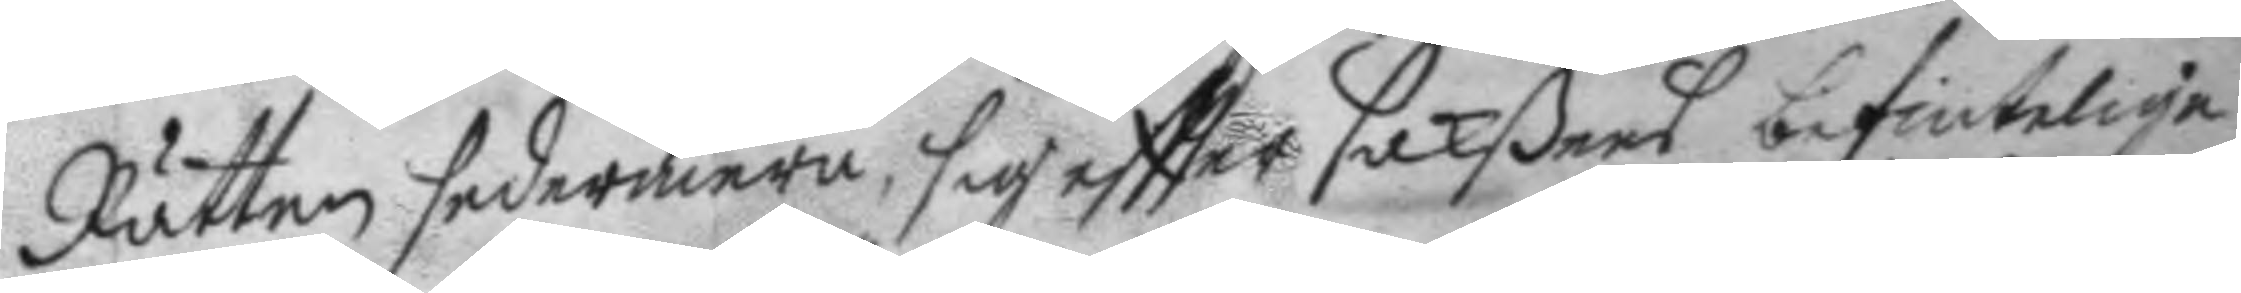Rätten sedermera, sig eftter sakßens befintelige
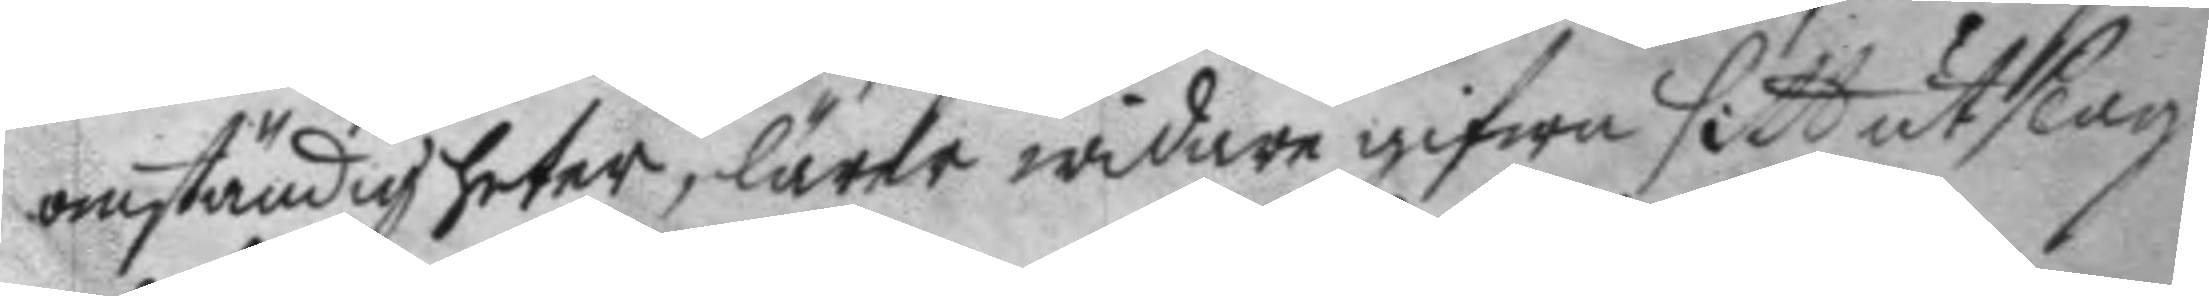omständigheter, lärer widrae gifwa sitt utslag
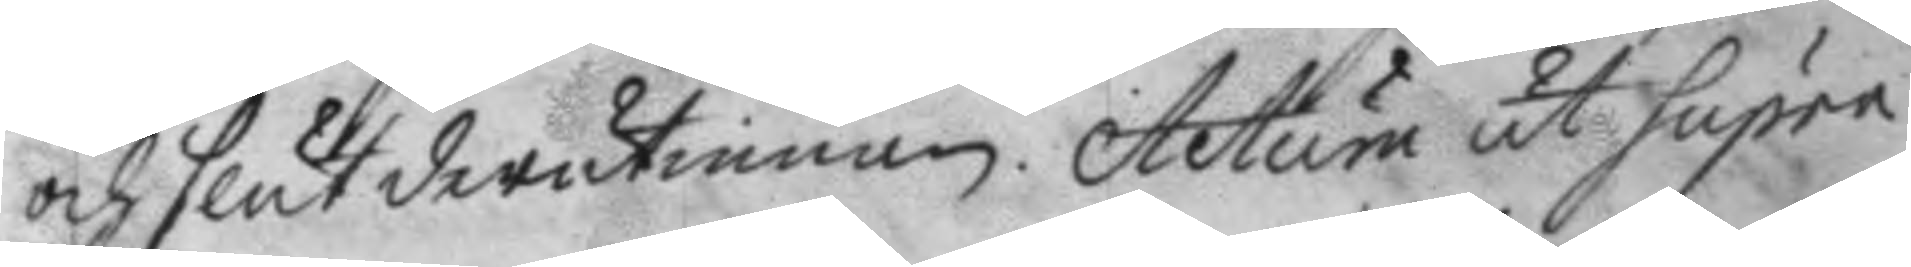och slut derutinnan. Actum ut Supra
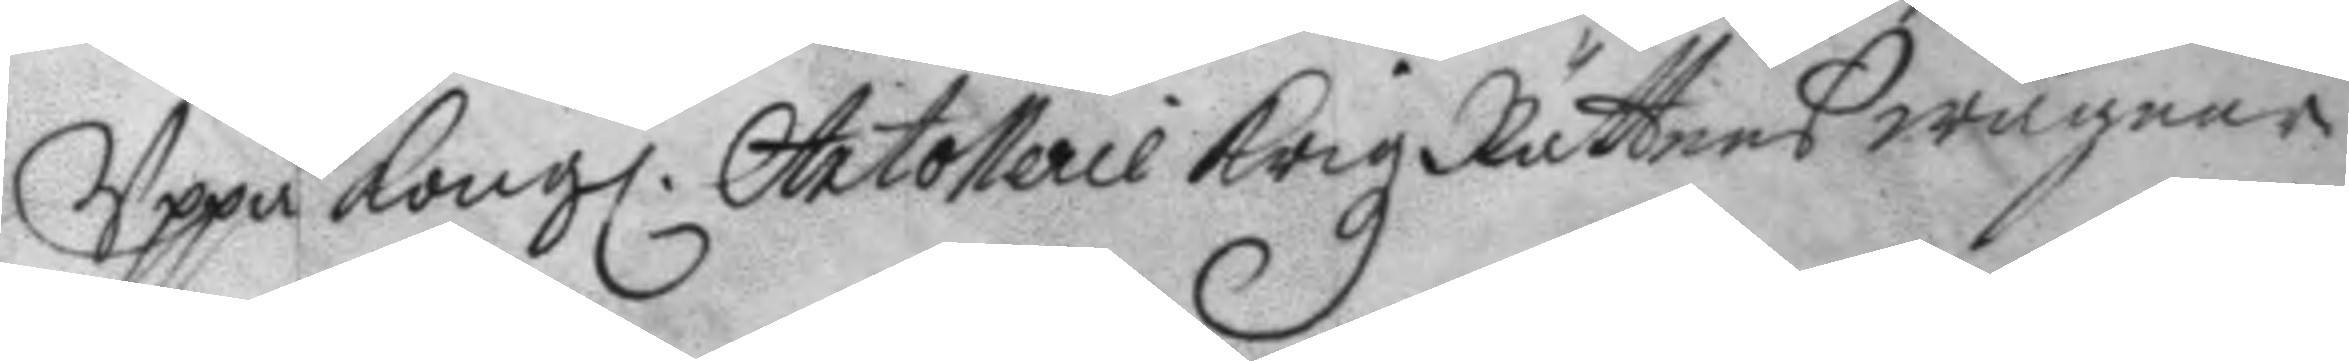Uppå Kong. Artollerie Krigz Rättens wägnar
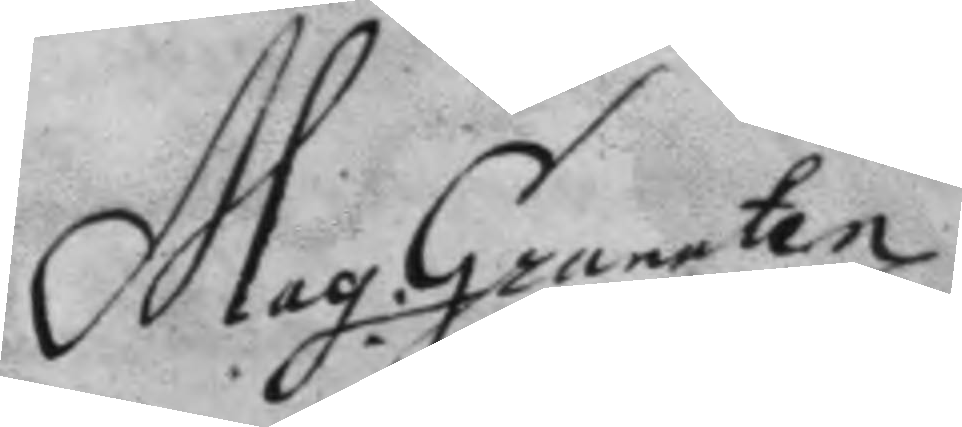Mag. Granaten¬
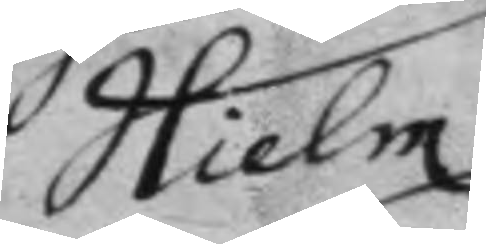Hielm
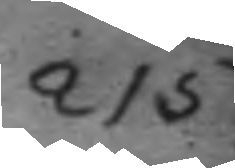215.
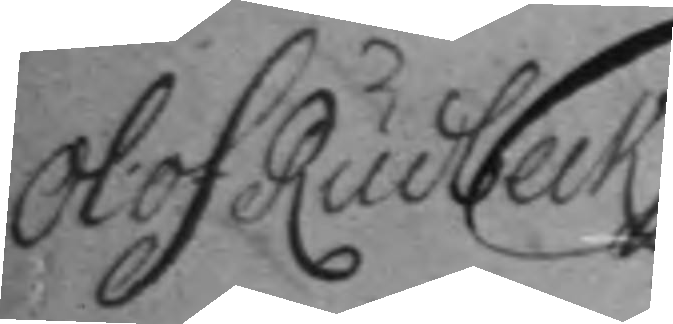Olof Rudbeck
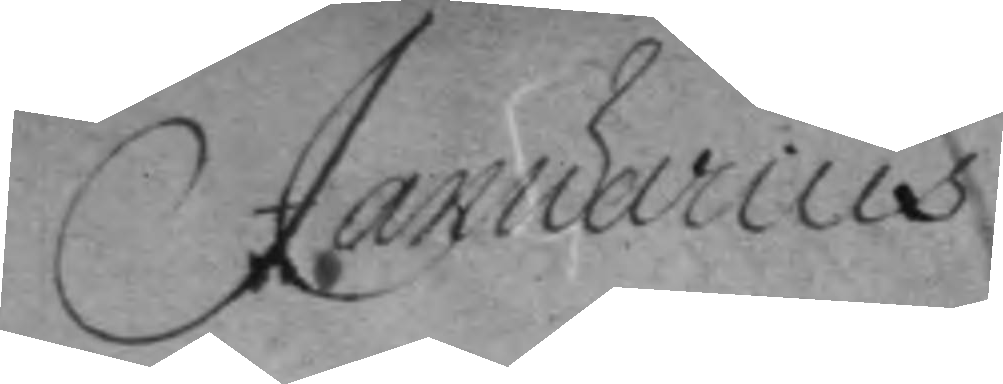Januarius
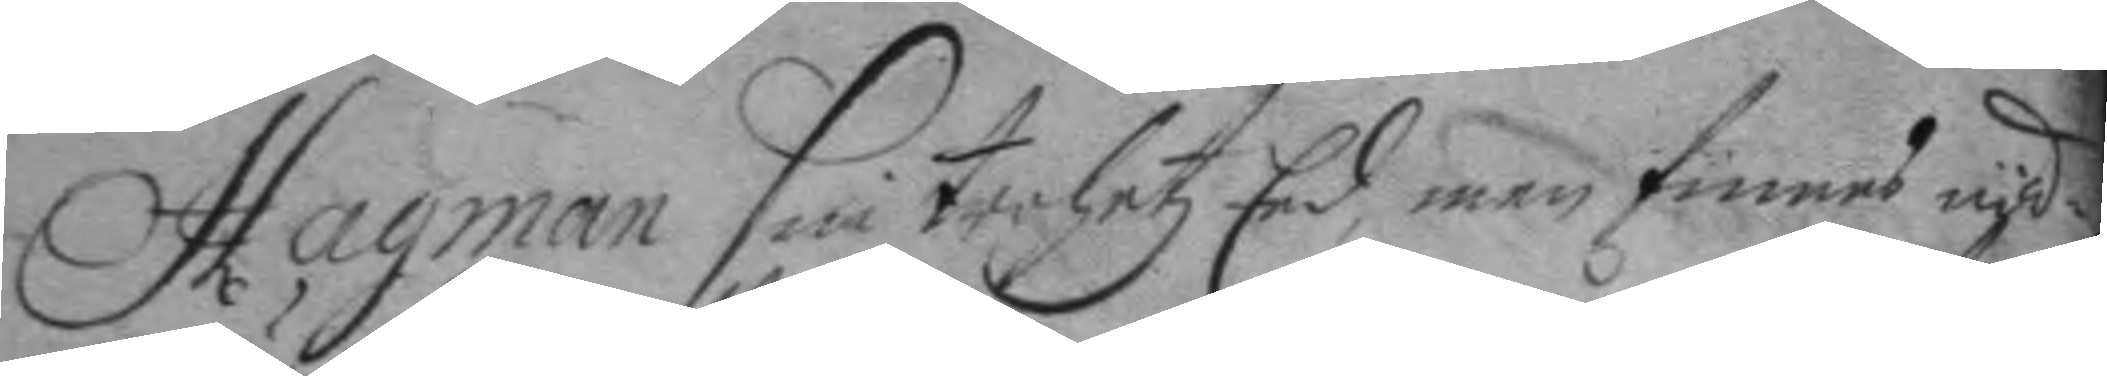Hagman sin trohetz Eed, men finnes nöd¬
